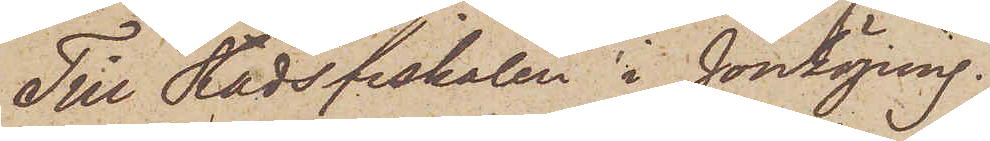Till Stadsfiskalen i Jönköping.
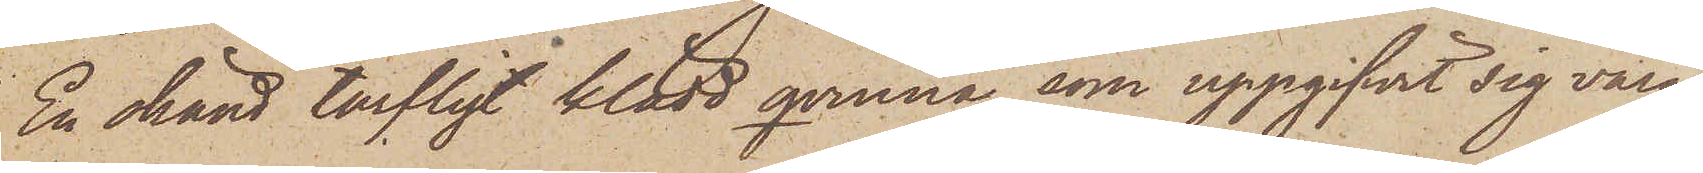En okänd tarfligt klädd qvinna, som uppgifvit sig vara
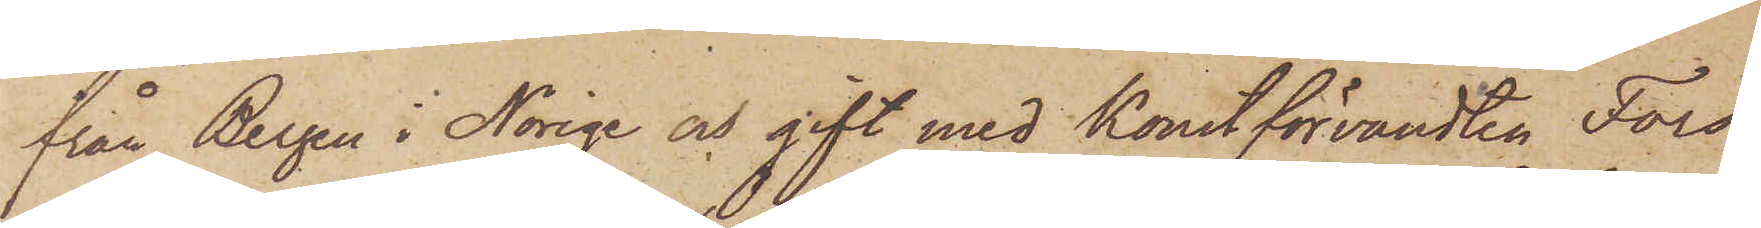från Bergen i Norige och gift med Konstförvandten Fors¬
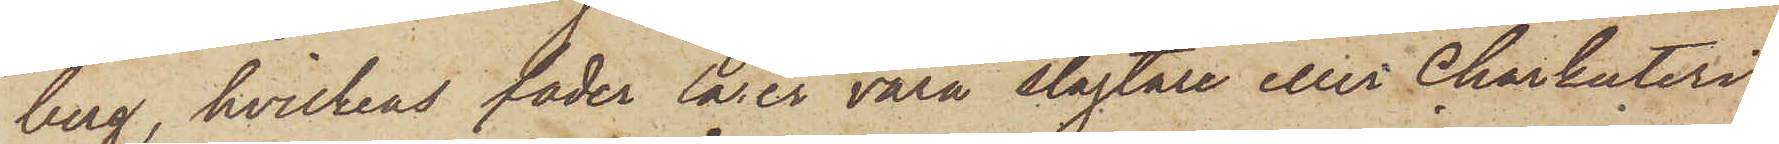berg, hvilkens fader lärer vara slagtare eller Charkuteri¬
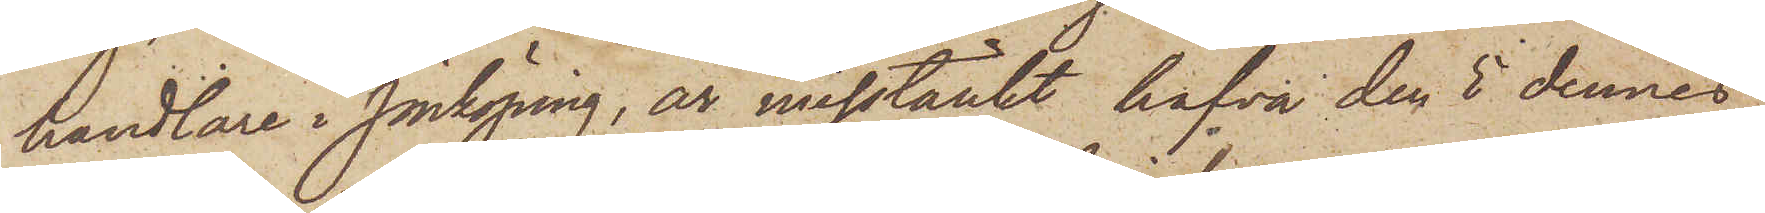handlare i Jönköping, är misstänkt hafva den 5 dennes
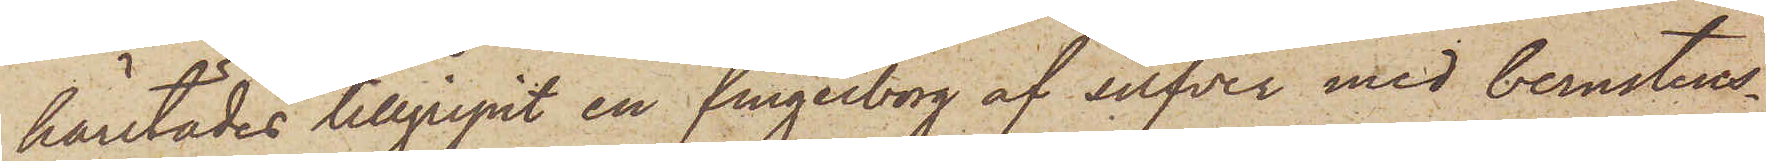härstädes tillgripit en fingerborg af silfver med bernstens¬
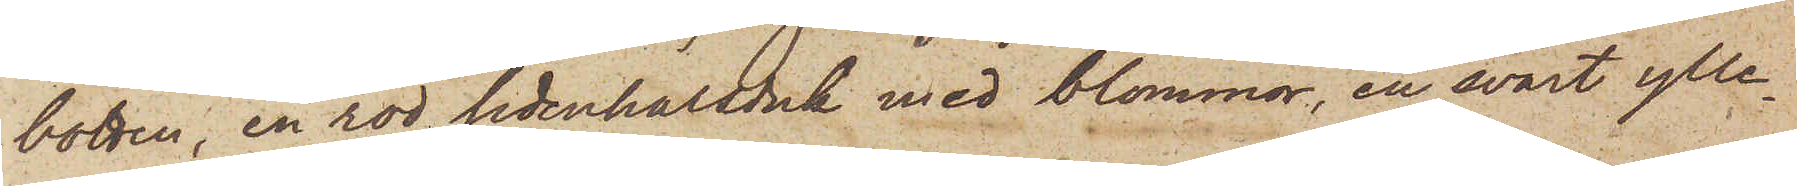botten, en röd sidenhalsduk med blommor, en svart ylle¬
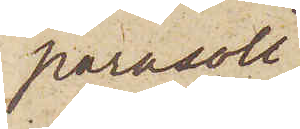parasoll
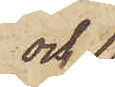och 
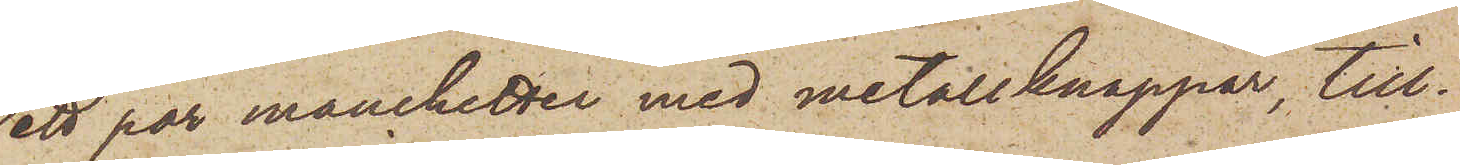ett par manchetter med metallknappar, till¬
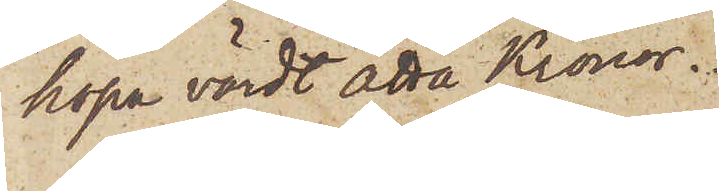hopa värdt åtta Kronor.
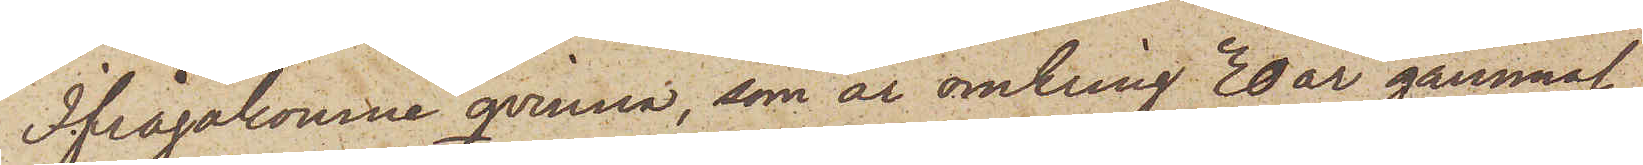Ifrågakomne qvinna, som är omkring 30 år gammal,
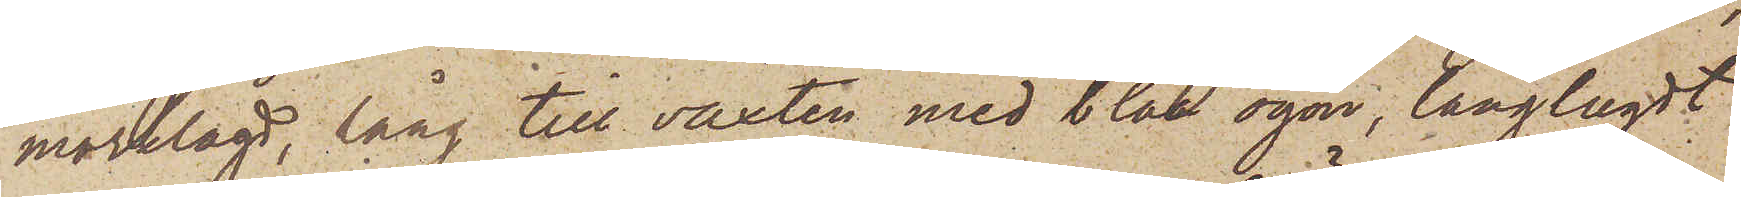mörklagd, lång till växten med blåa ögon, långlagdt
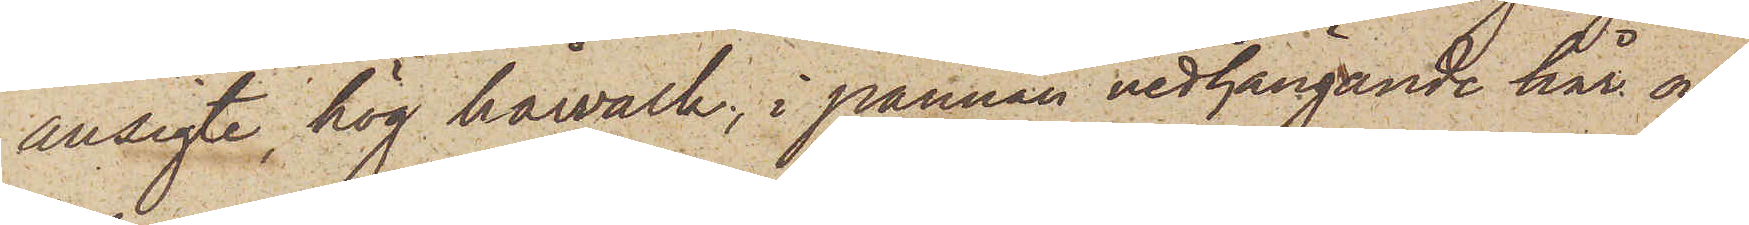ansigte, hög hårvalk, i pannan nedhängande hår och
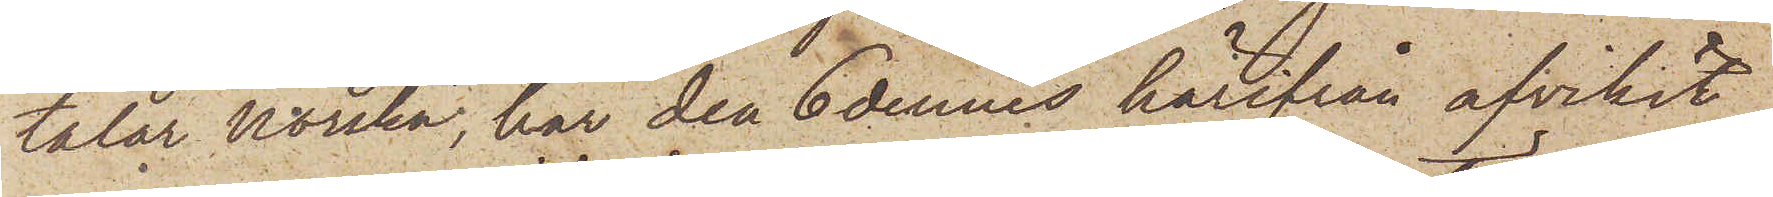talar Norska, har den 6 dennes härifrån afvikit,
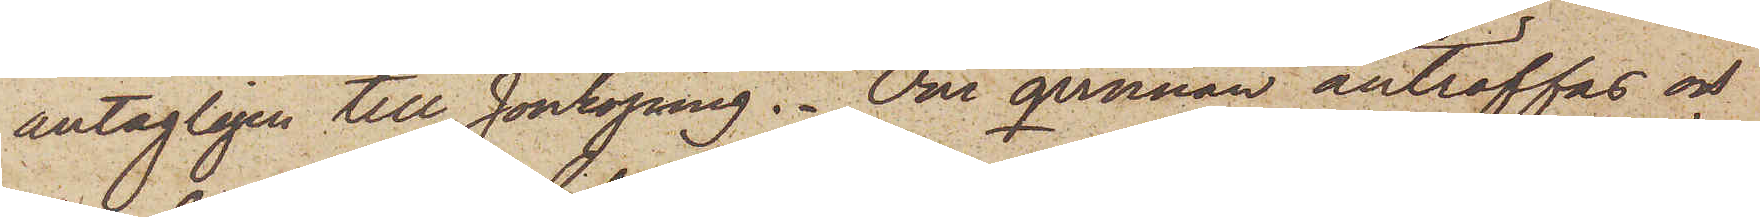antagligen till Jönköping. Om qvinnan anträffas och
